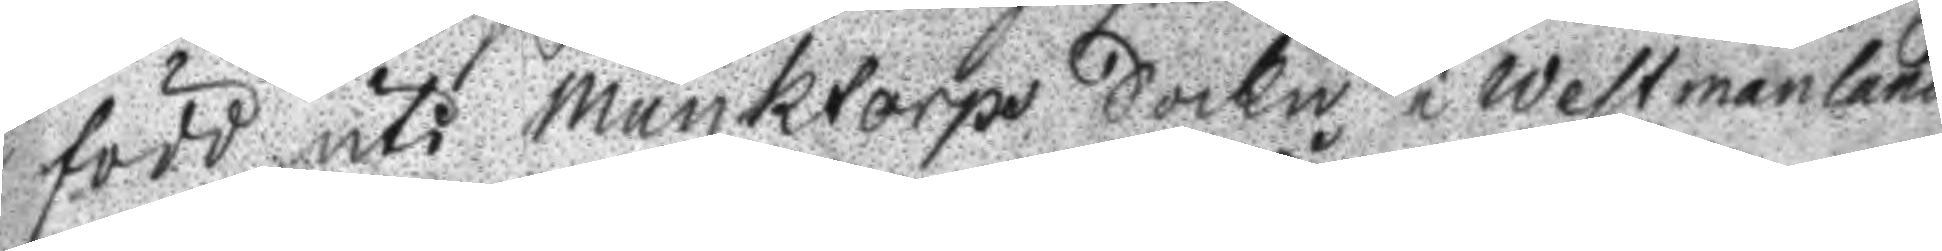född uti Munktorps Sockn i Westmanland
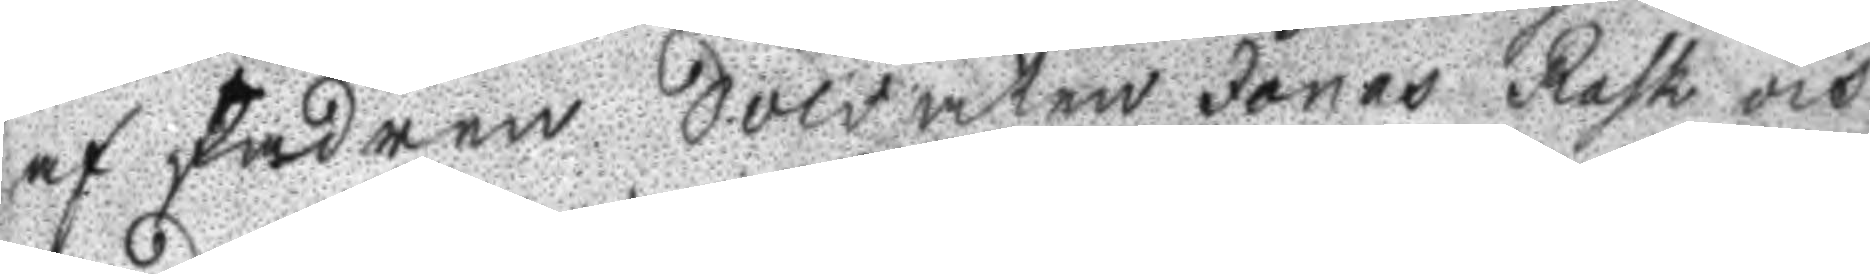af Fadren Soldaten Jonas Rask och
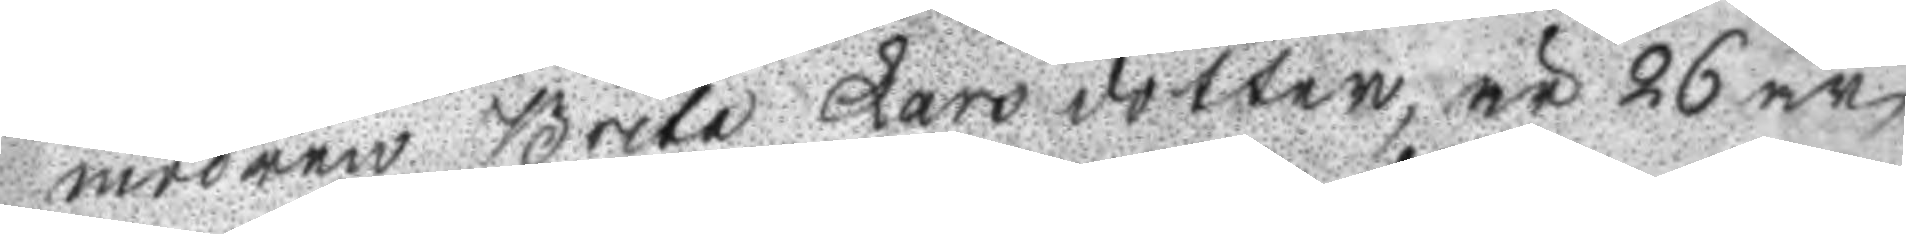modren Brita Larsdotter, är 26 år
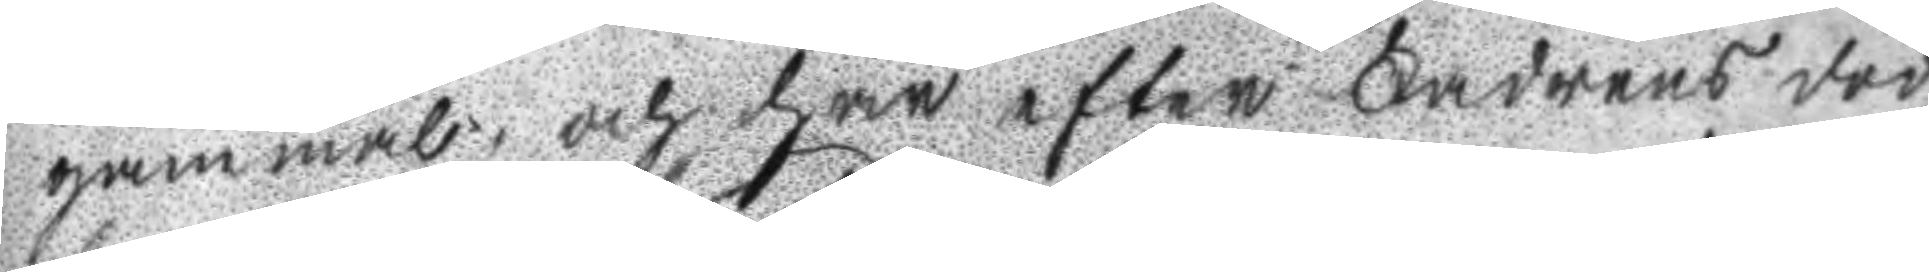gammal och har efter Fadrens död
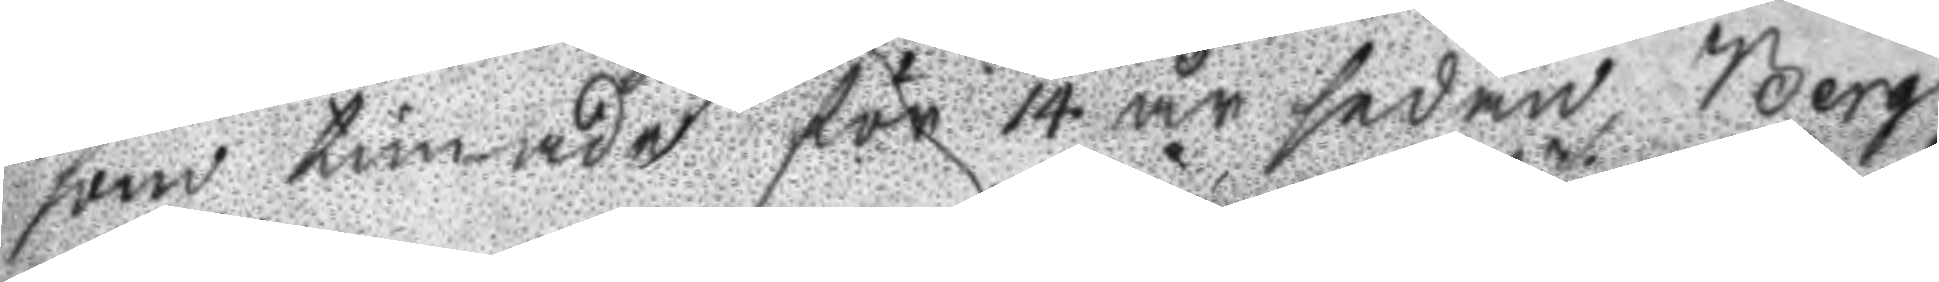som timade för 14 år sedan, Berg¬
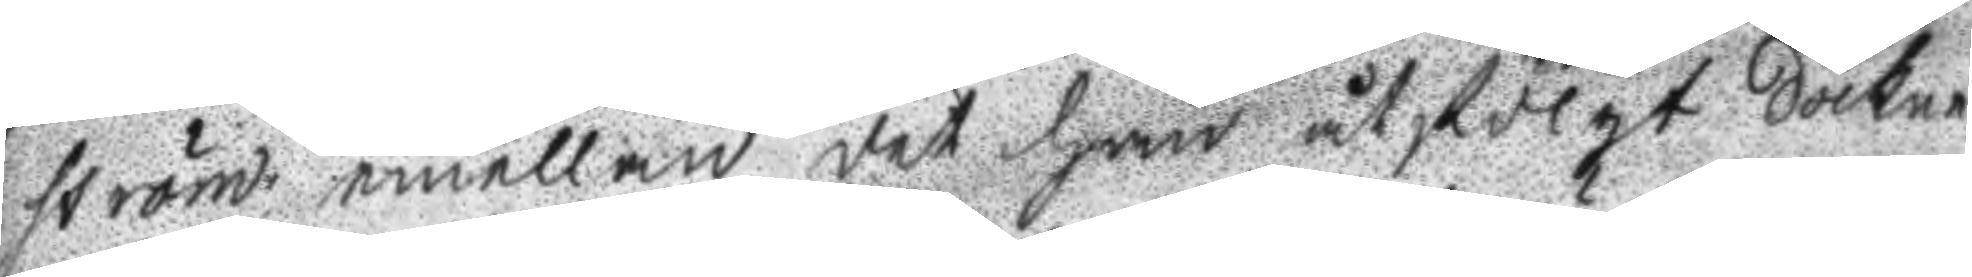ström emellan det han åtfölgt Sockne
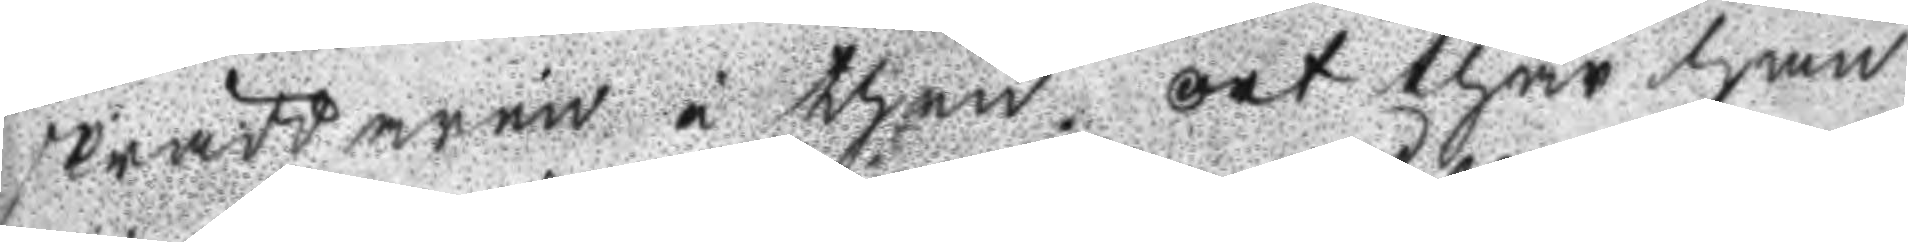skräddaren i then ort thär han
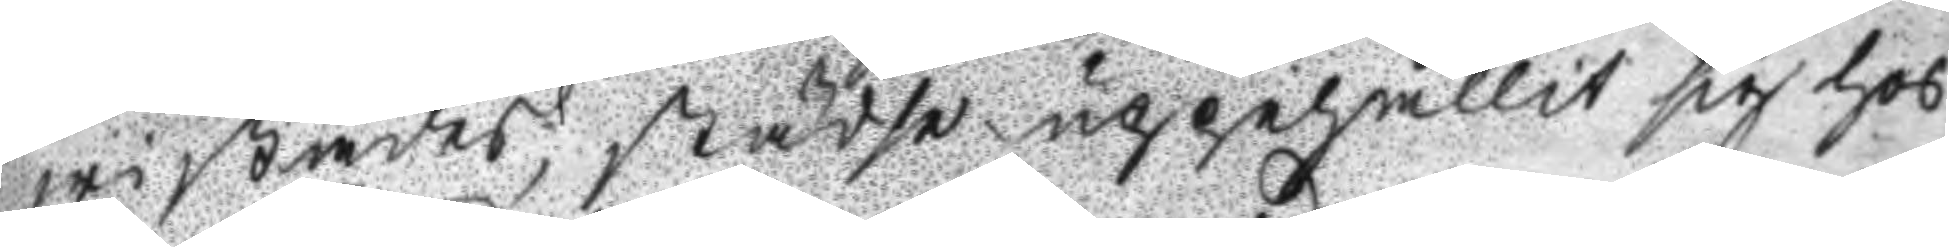wistades, städse uppehållit sig hos
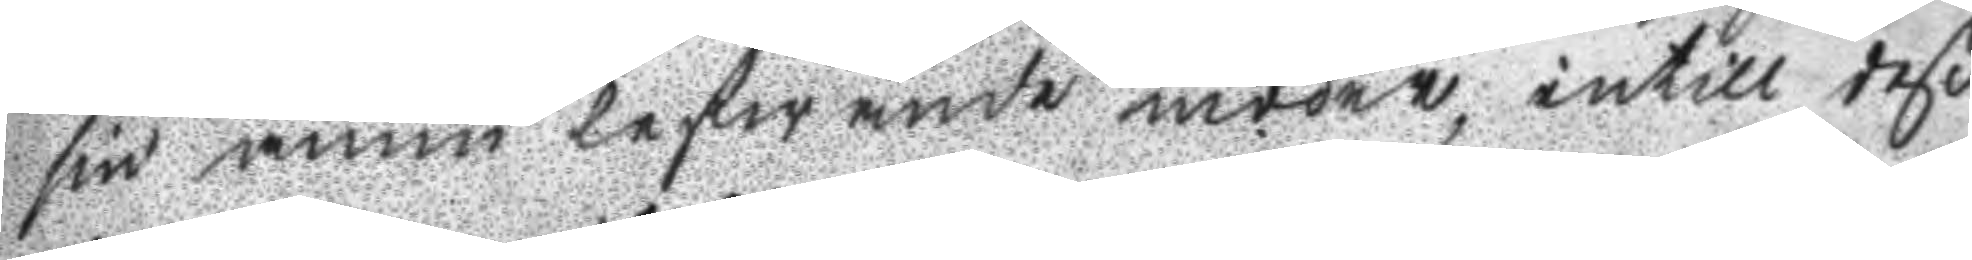sin ännu lefwande moder, intill deß
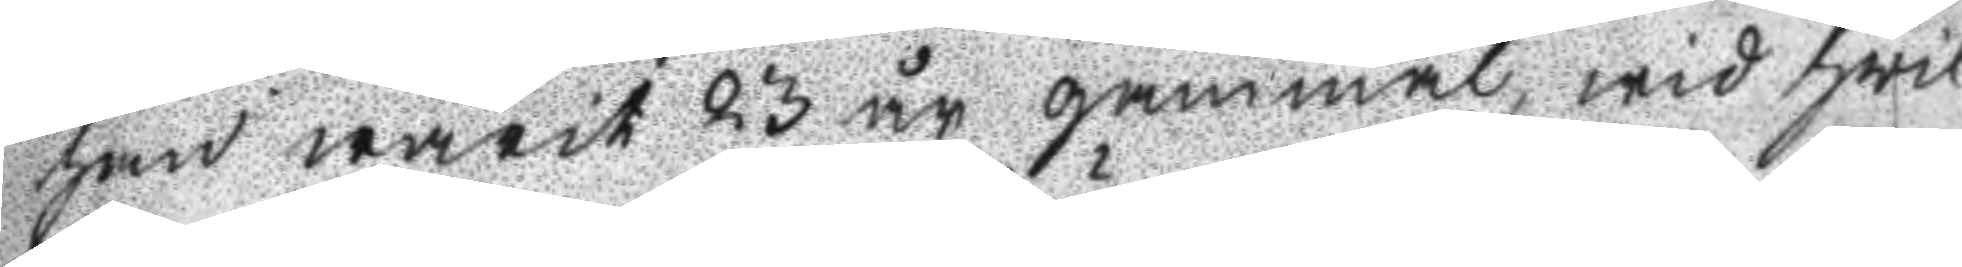han warit 23 år gammal, wid hwil
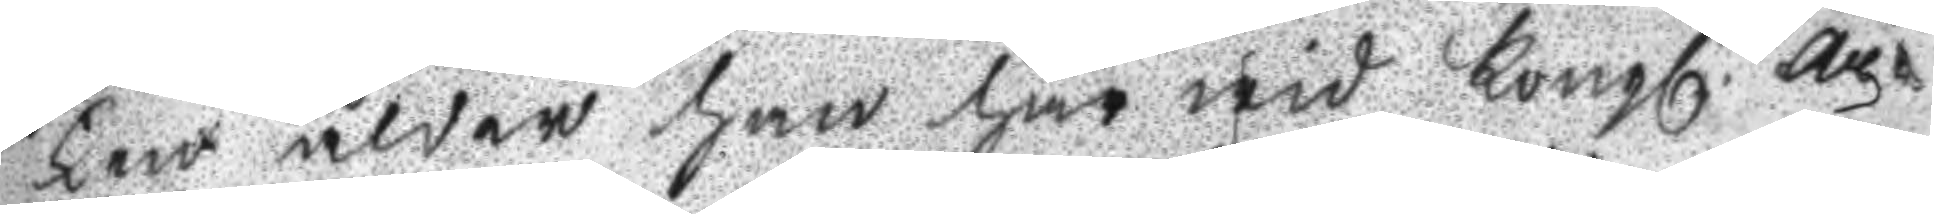ken ålder han här wid Kongl. ar¬
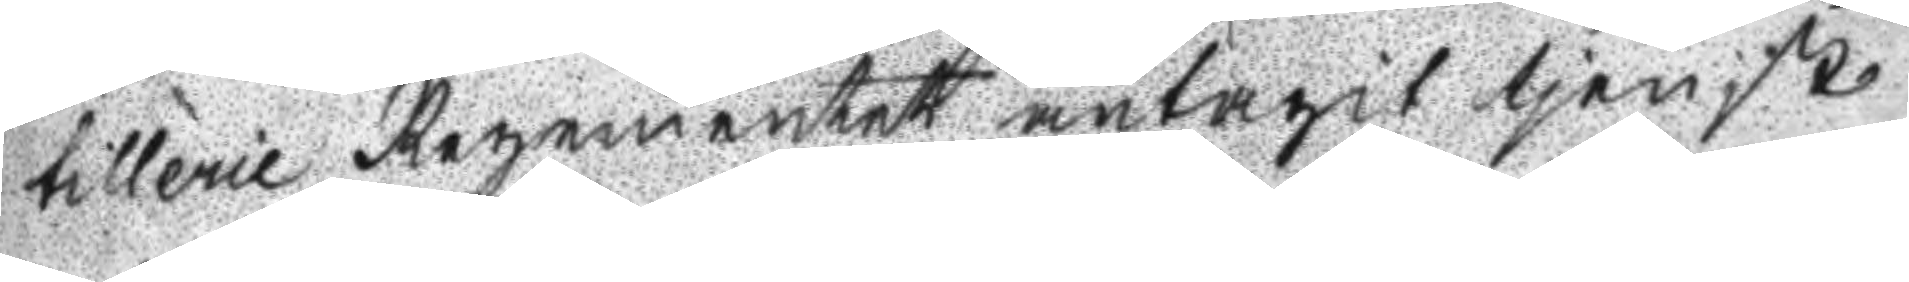tillerie Regementet antagit tjenst
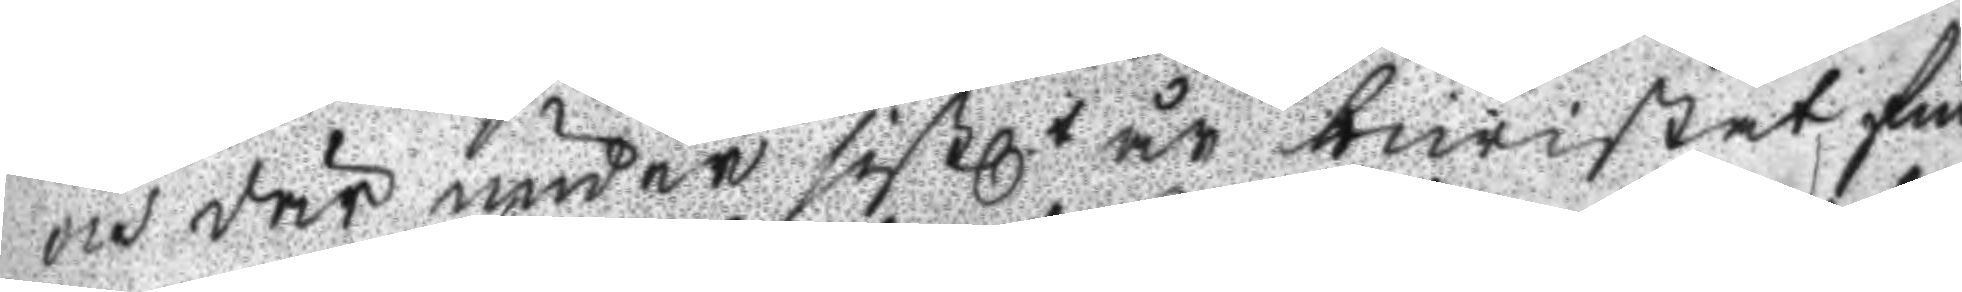och där under sistl. år bewistat fin
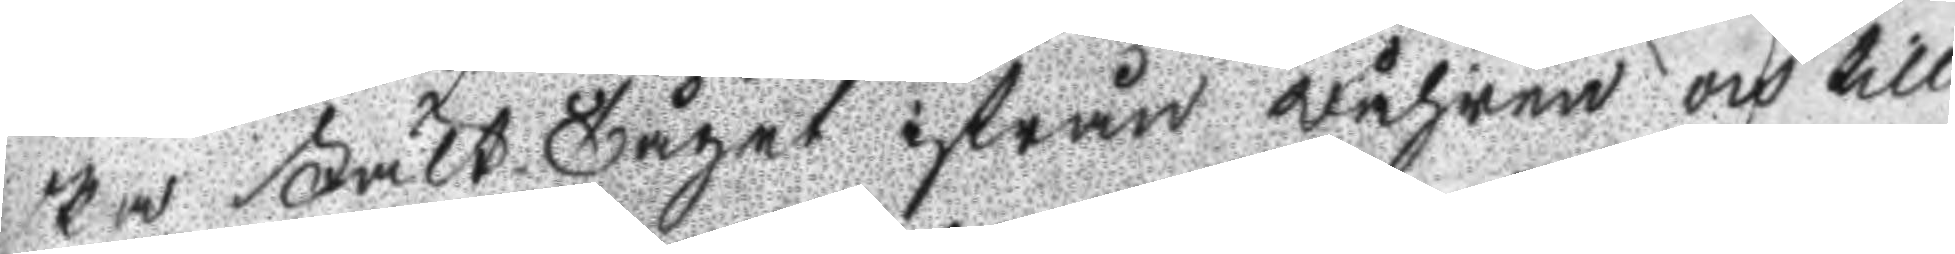ska Fält Tåget ifrån wåhren och till
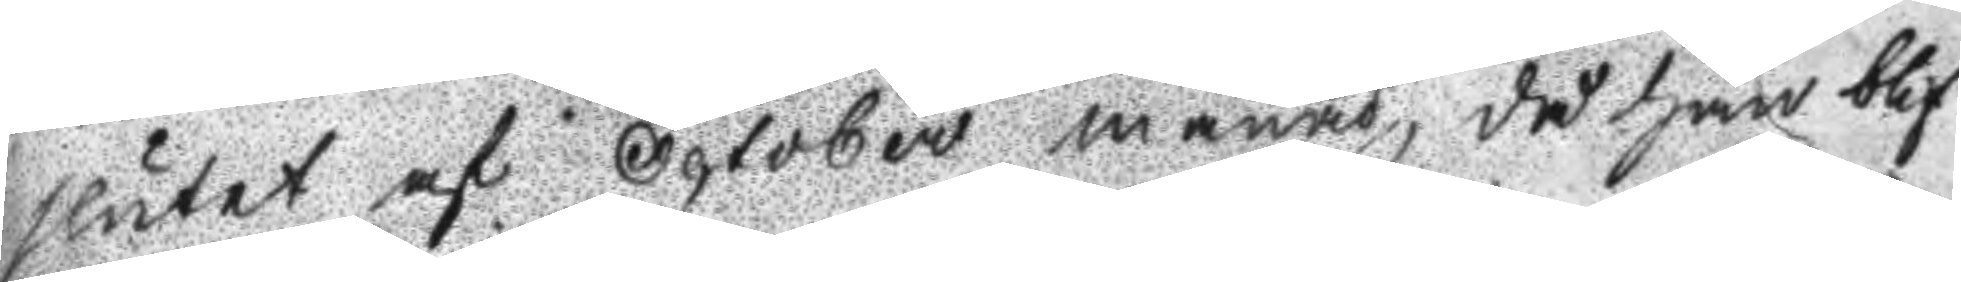slutet af October månad, då han blif
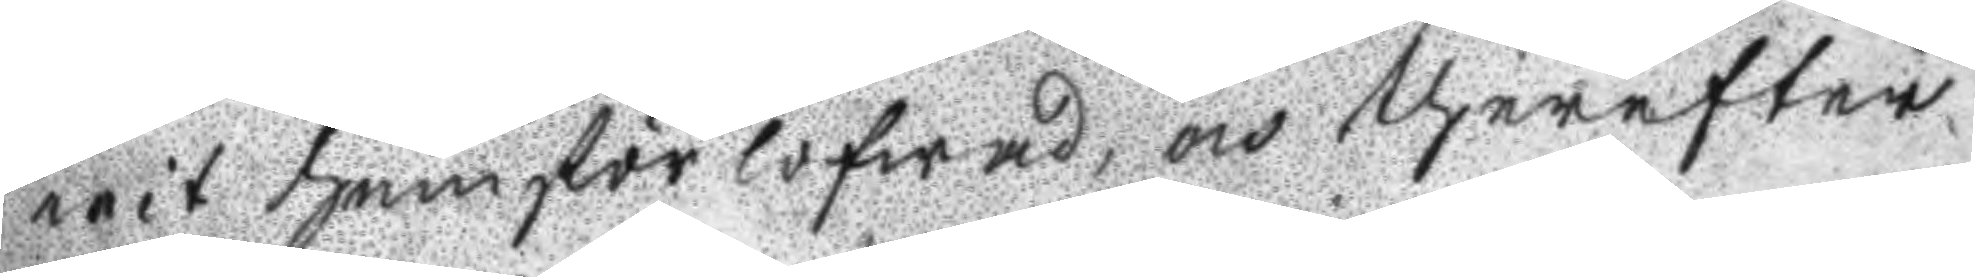wit hemförlogwad, och therefter
